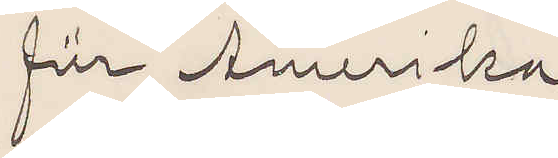für Amerika.
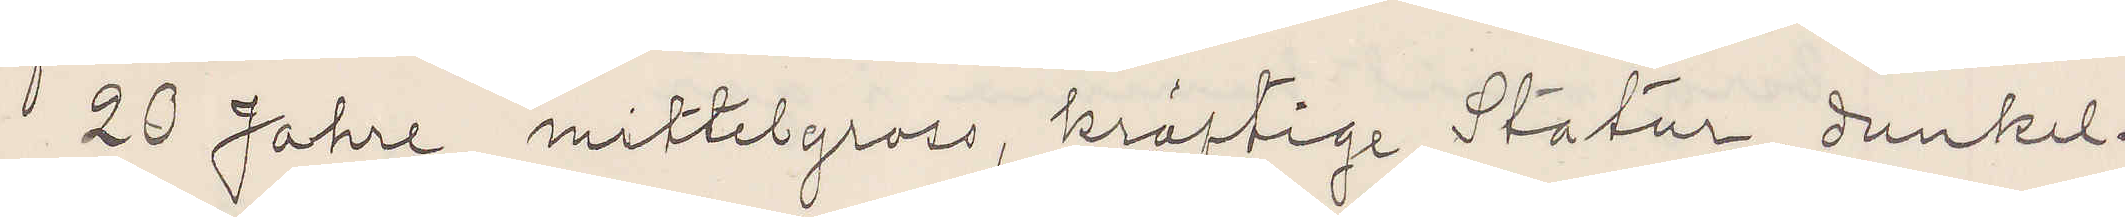20 Jahre, mittelgross, kräftige Statur, dunkel¬
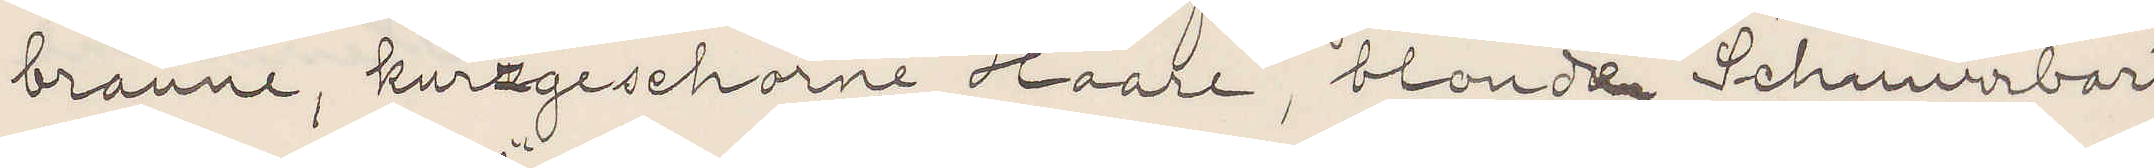braune, kurzschorne Haare, blonde Schnurrbart
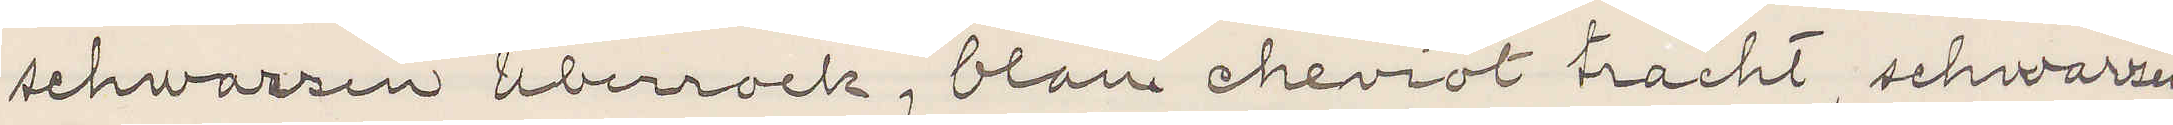schwarzen überrock, blau cheviot trächt, schwarzen
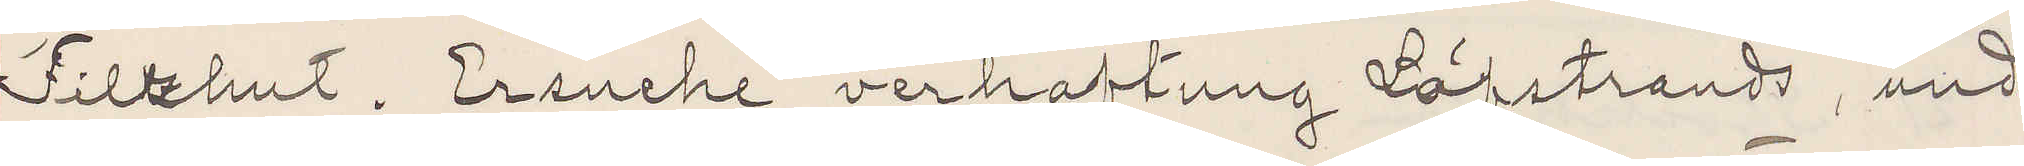Filzhut. Ersuche verhaftung Löfstrands, und
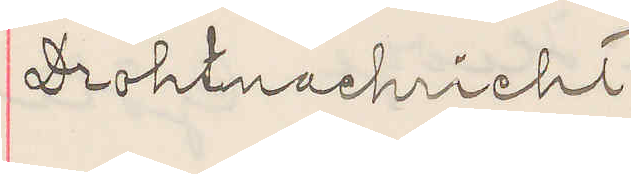Drohtnachricht.
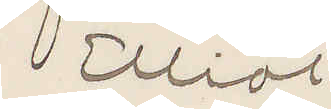Elliot
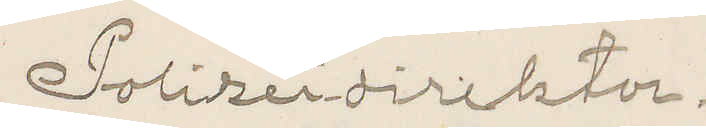Polizeidirektor.
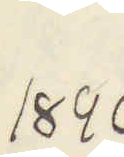1896
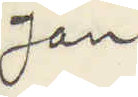Jan.
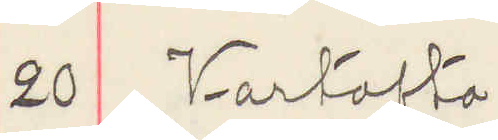20 Vartofta
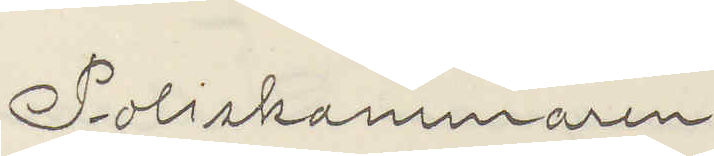Poliskammaren
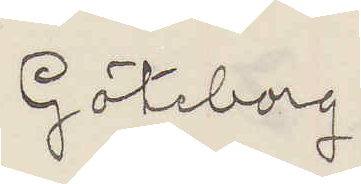Göteborg
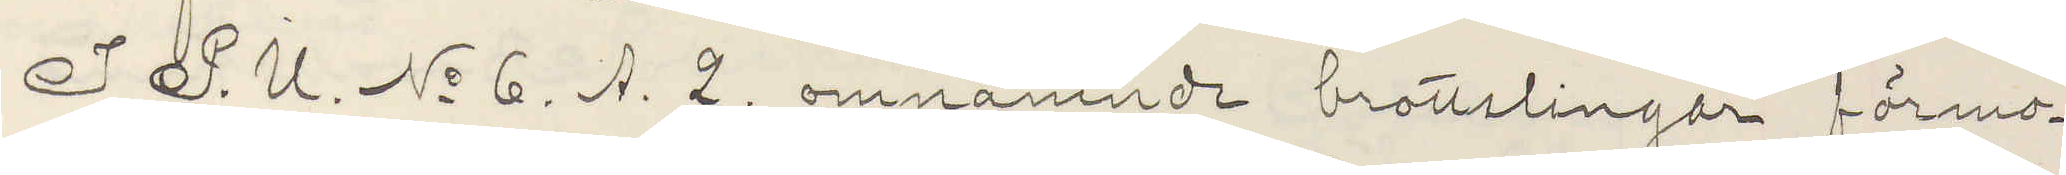I P. U. No 6. A. 2. omnämnde brottslingar förmo¬
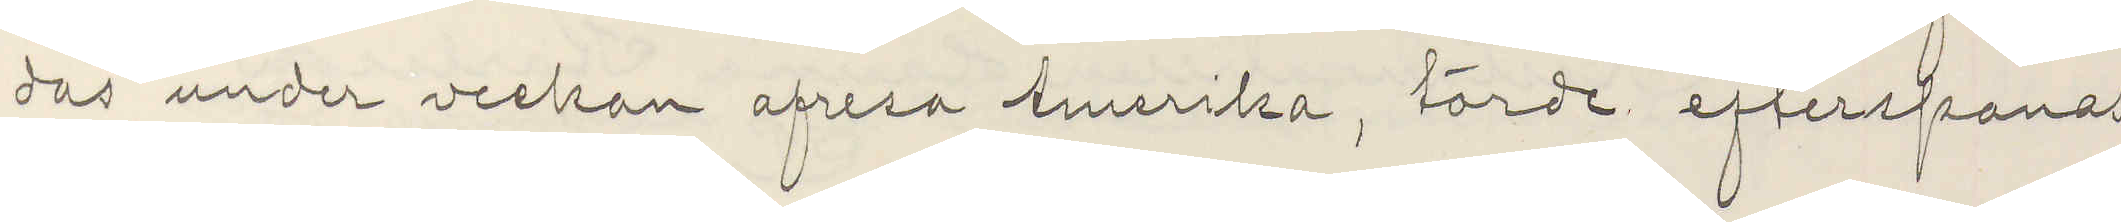das under veckan afresa Amerika, torde efterspanas,
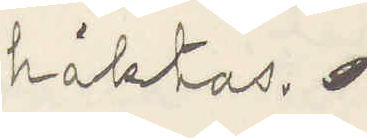häktas.
